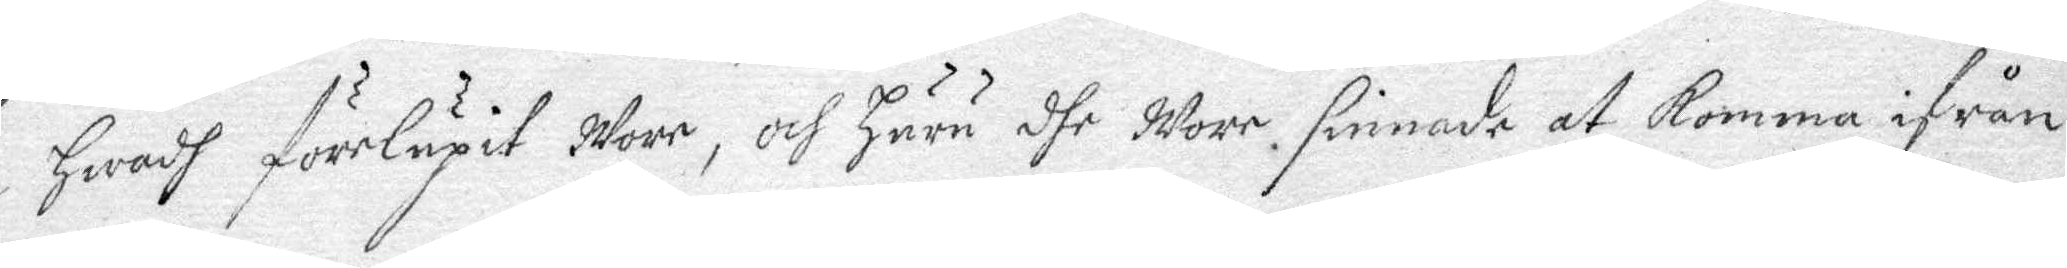hwadh förelupit Wore, och huru dhe Wore sinnade att komma ifrån
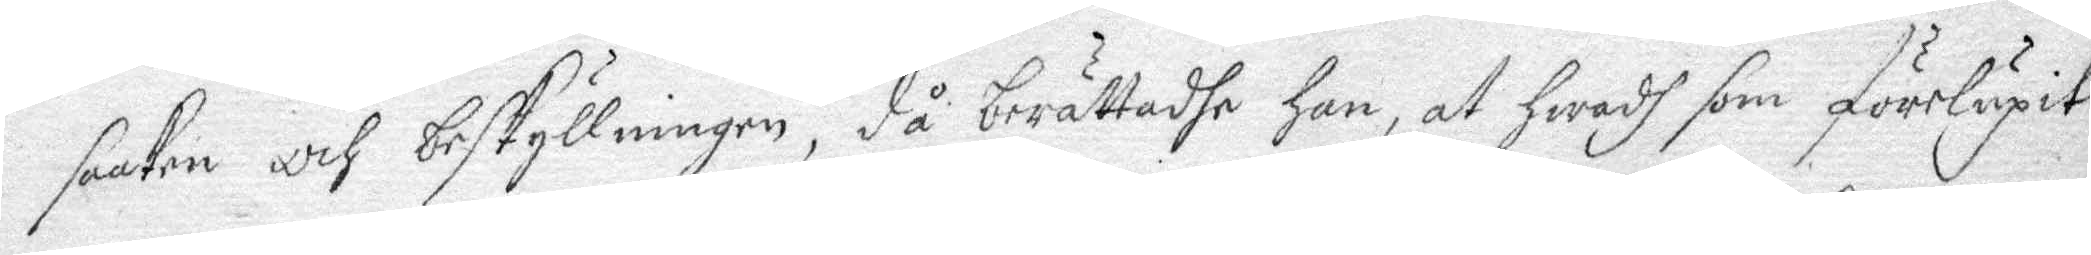saaken och beskyllningen, då berättadhe han, at hwadh som förelupit
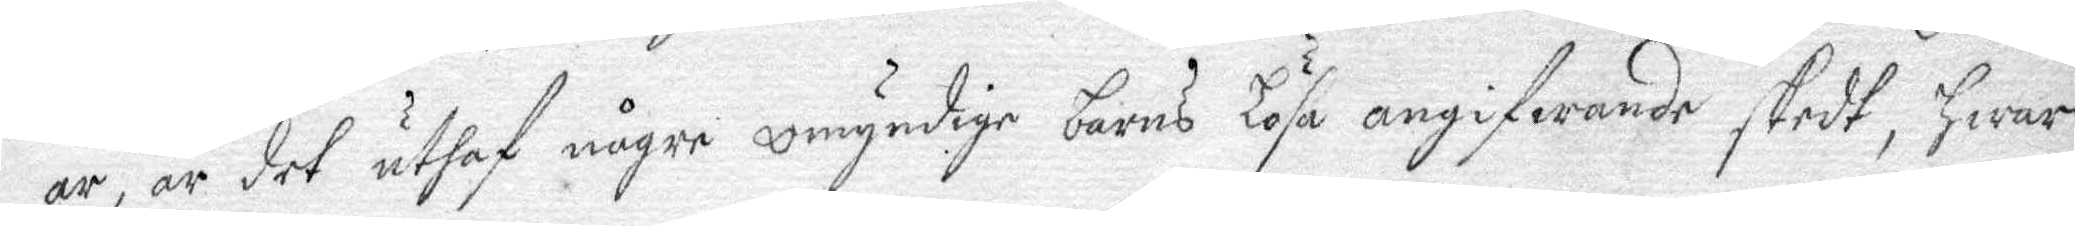är, är det uthaf någre omyndige barns Lösa angifwande skedt, hwar
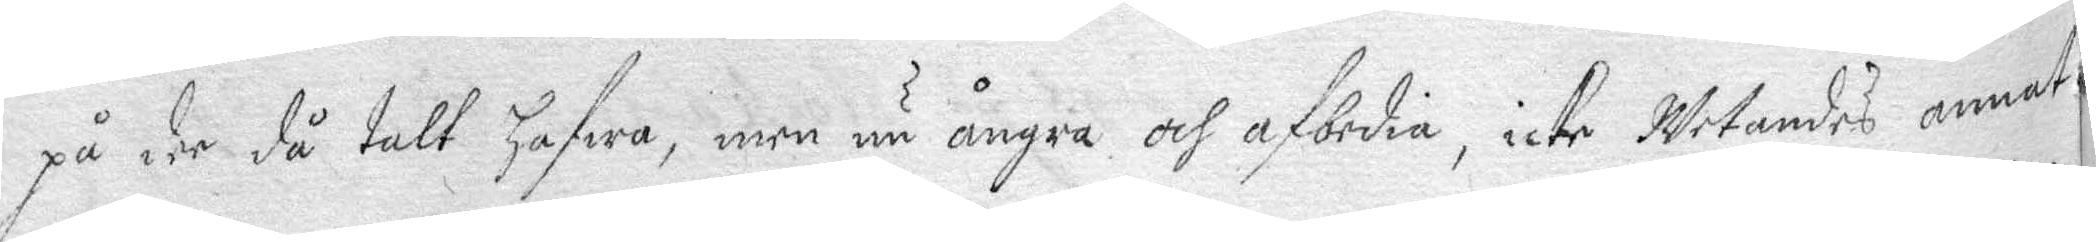på dee då talt hafwa, men nu ångra och afbedia, icke Wetandes annat
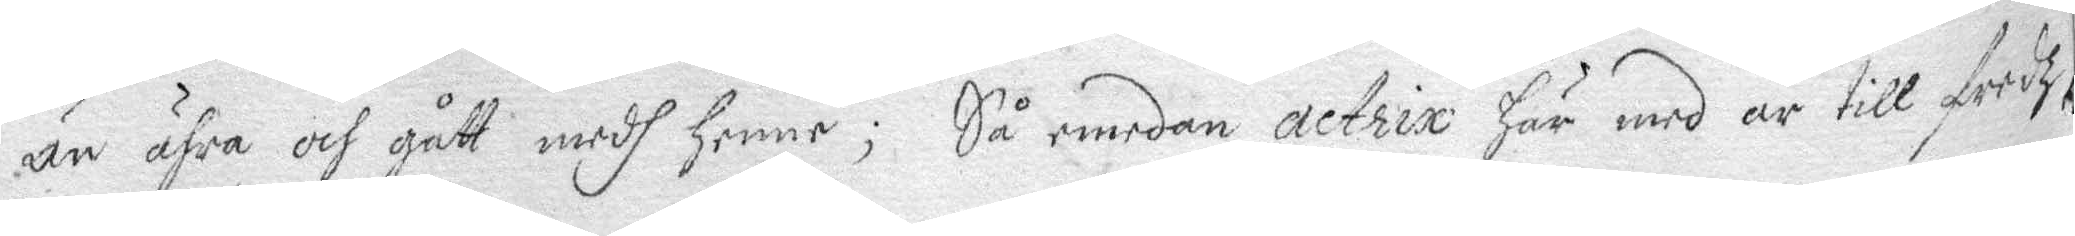än ähra och gått medh henne; Så emdean actrix här med är till fredz
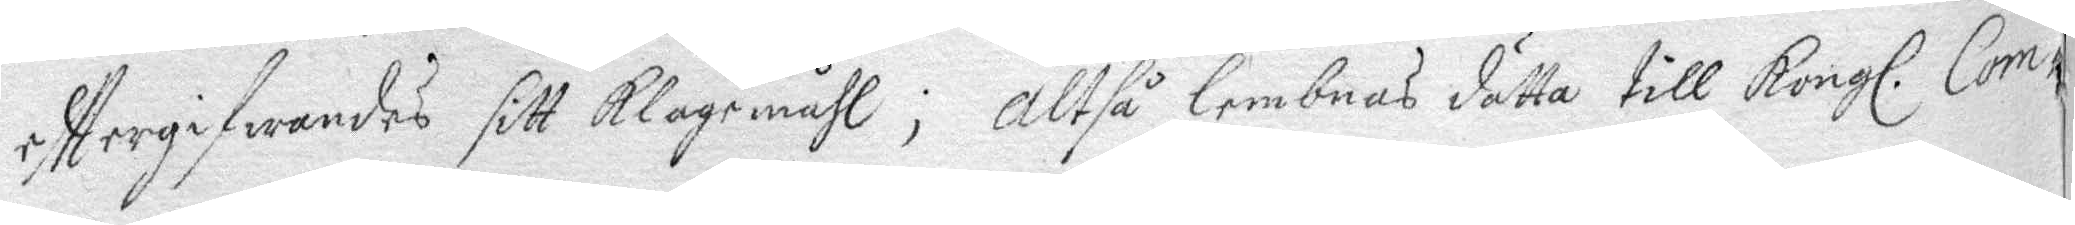efttergifwandes sitt klagomåhl; altså lemnas dätta till Kongl. Com¬
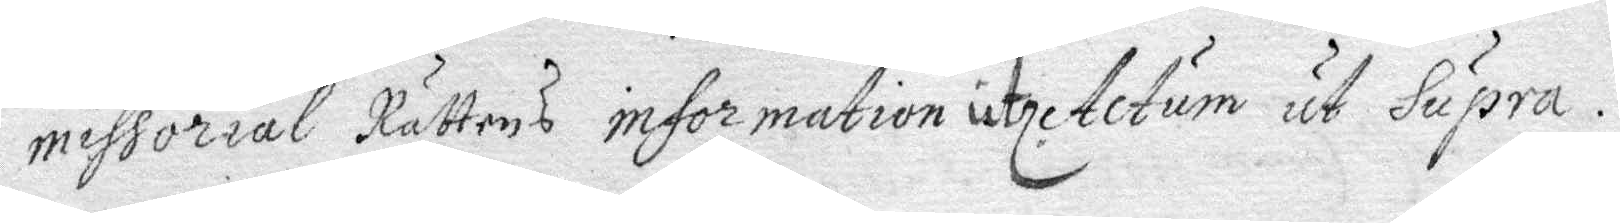missorial Rättens information utel. Actum ut Supra.
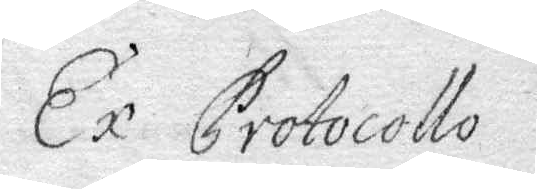Ex protocollo
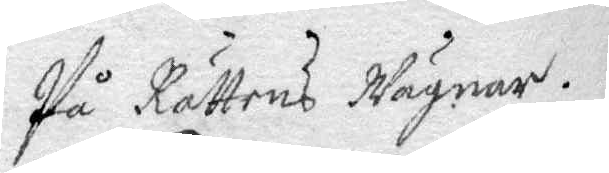På Rättens Wägnar.
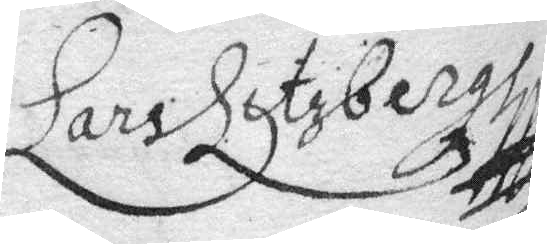Lars Litzbergh
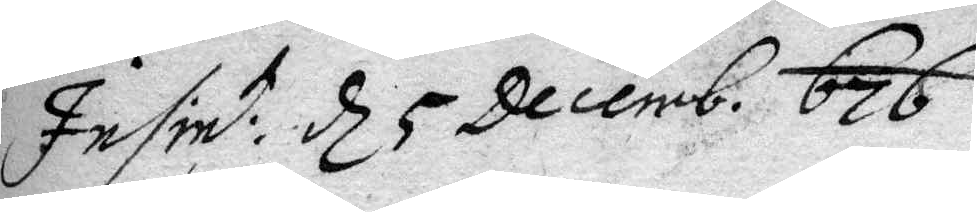Insint: d 5 Decemb. 676.
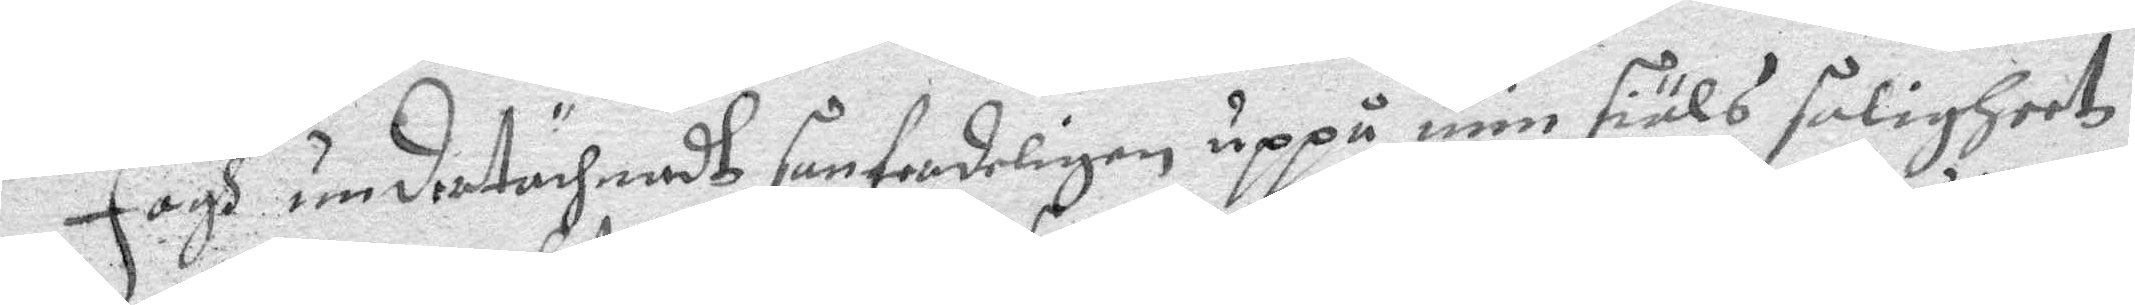Jagh undertächnadh sanferdeligen uppå min siäls saligheet
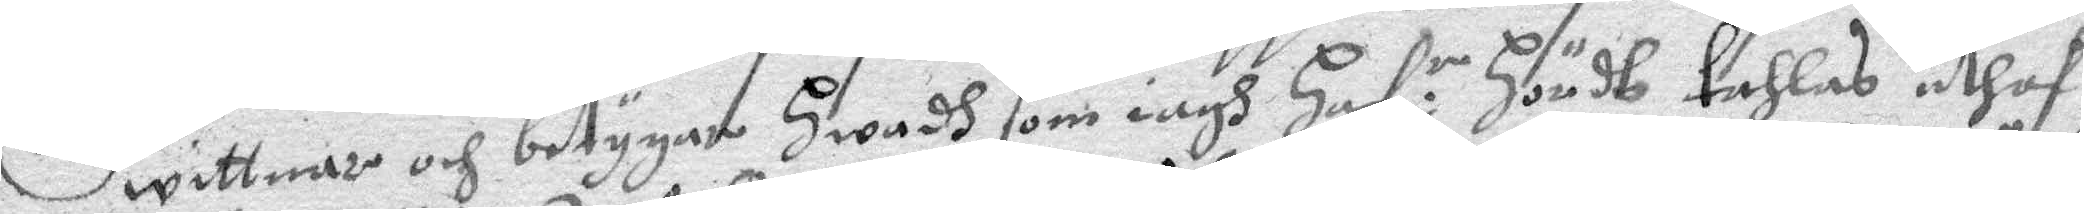wittnar och betygar hwadh som iagh haf:r hördt tahlas uthaf
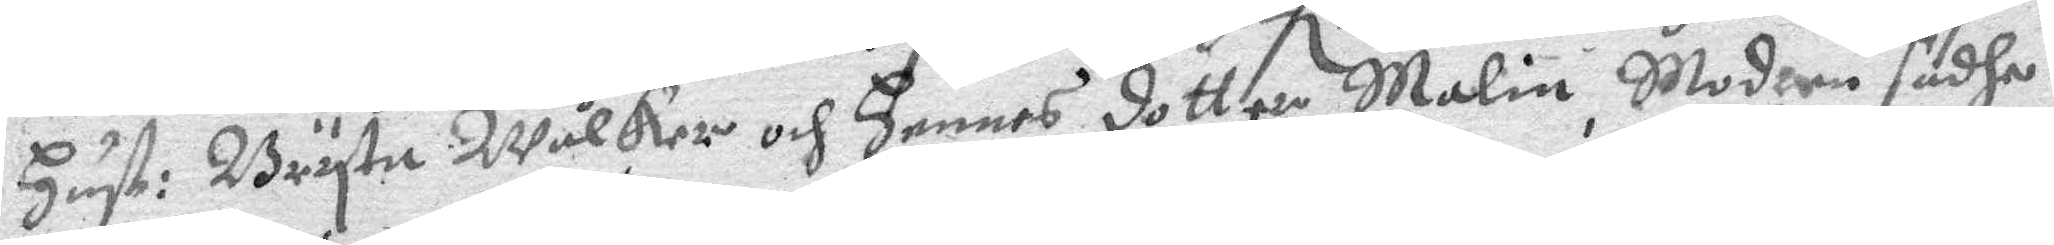hust: Bryta Wålker och hennes dotter Malin, Modren sadhe
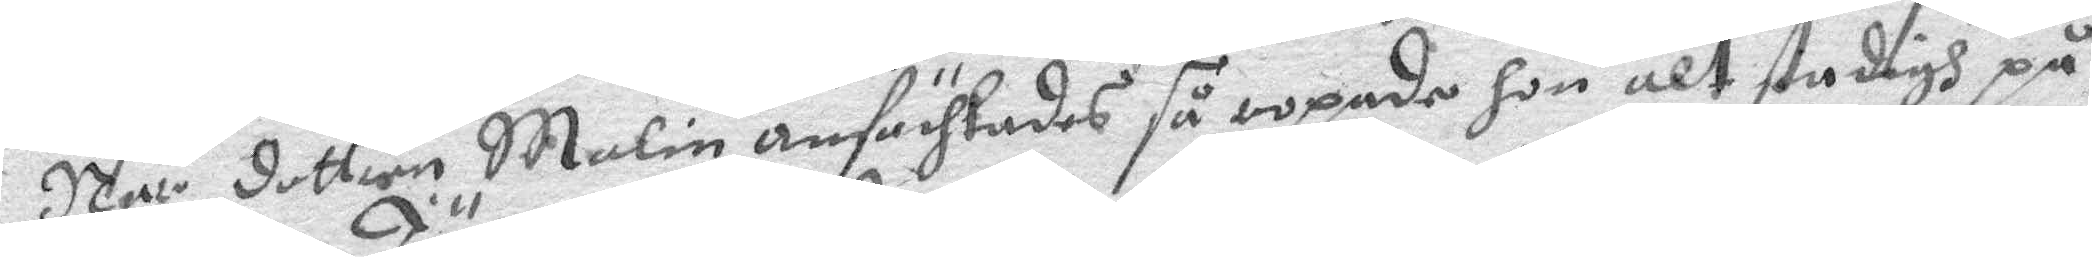När dottren malin anfächtades så ropade hon alt stadigh på
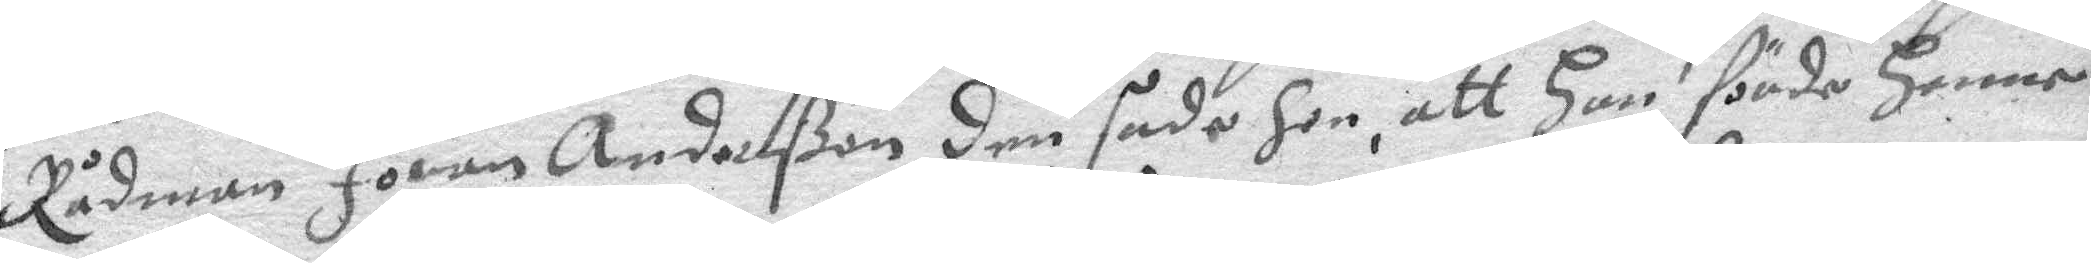Rådman Jöran Anderßon den sade hon, att han förde henne
